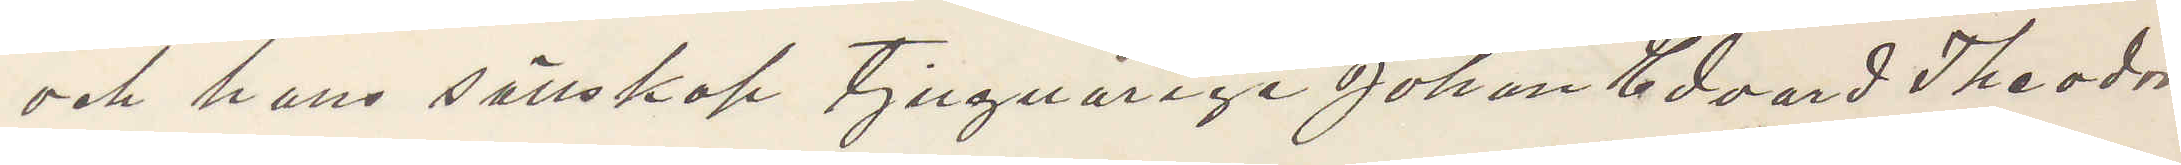och hans sällskap tjugoårige Johan Edvard Theodor
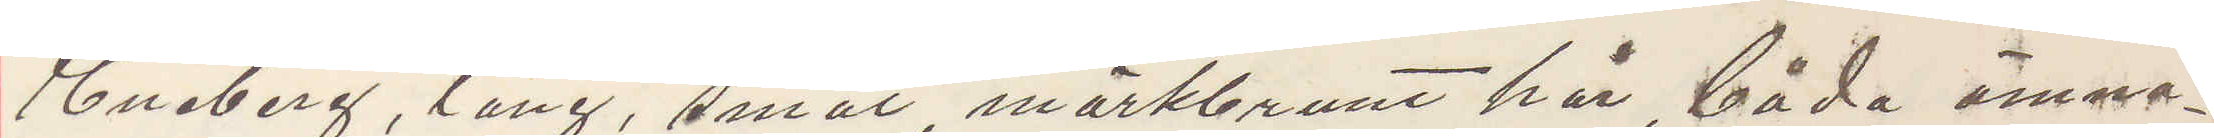Enberg, lång, smal mörkbrunt hår, båda ämna¬
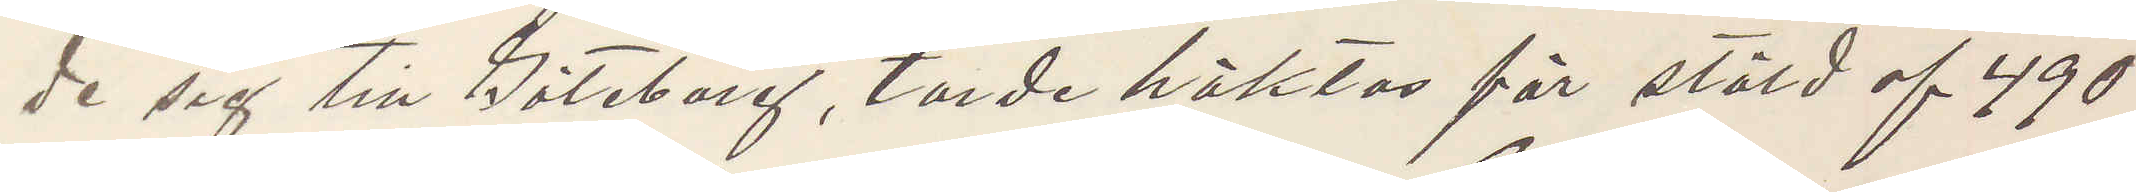de sig till Göteborg, torde häktas för stöld af 490
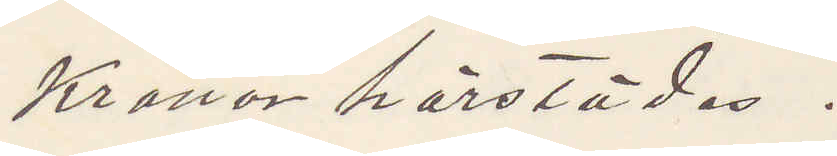Kronor härstädes.
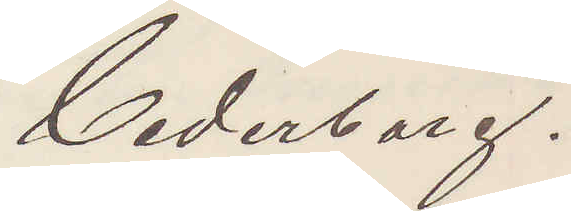Cederborg.
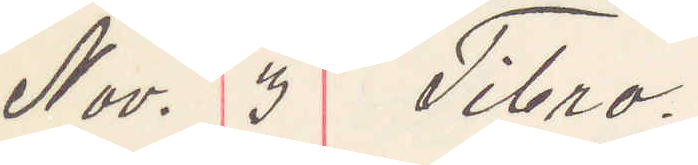Nov. 3 Tibro.
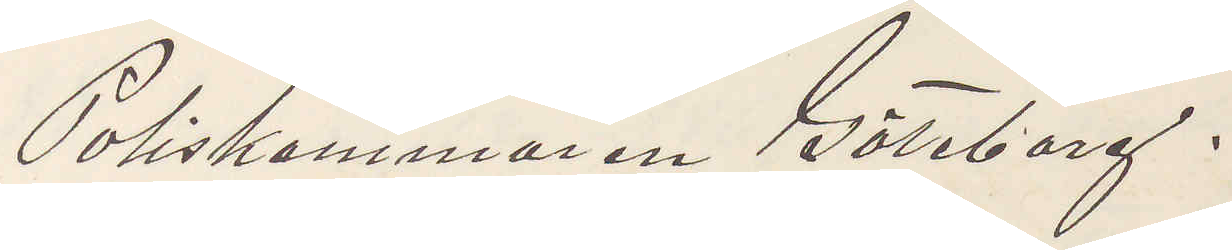Poliskammaren Göteborg.
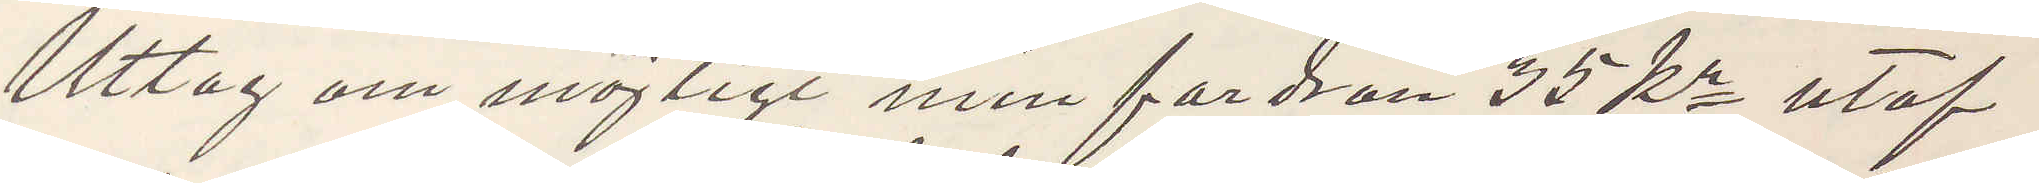Uttag om möjligt min fordran 35 kr utaf
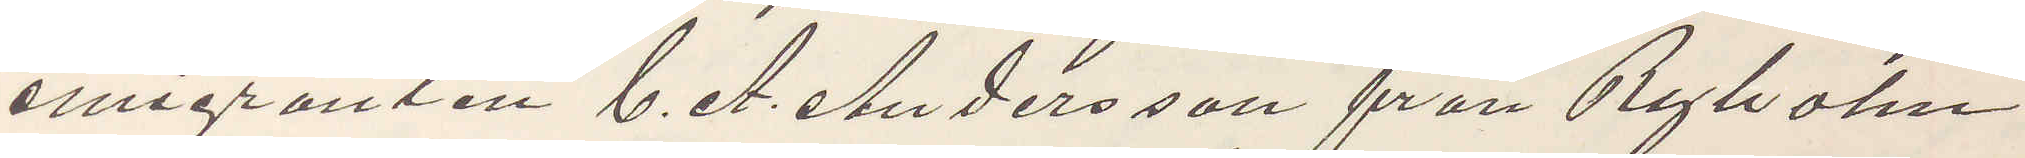emigranten C. A. Andersson från Ryholm
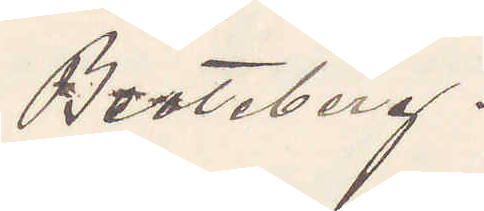Beateberg.
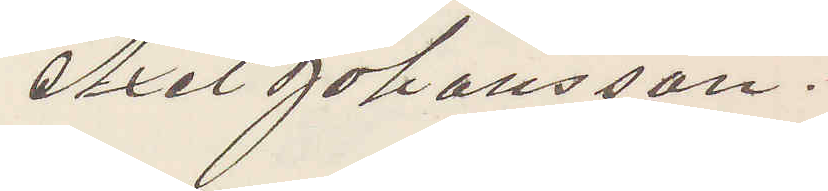Axel Johansson.
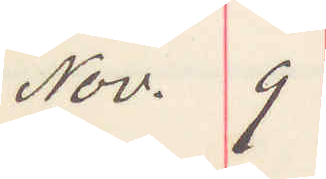Nov. 9
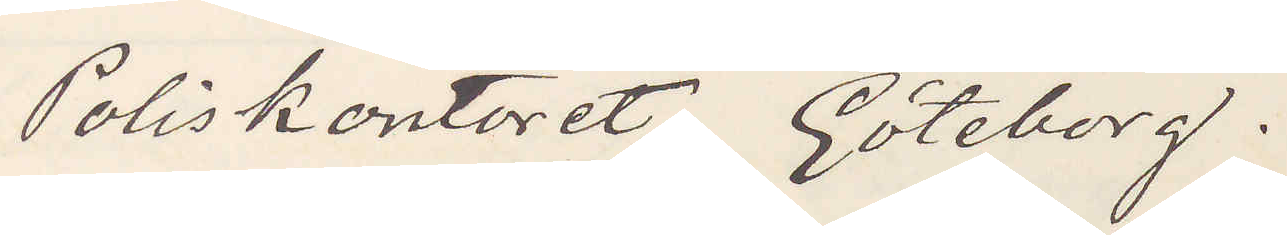Poliskontoret Göteborg.
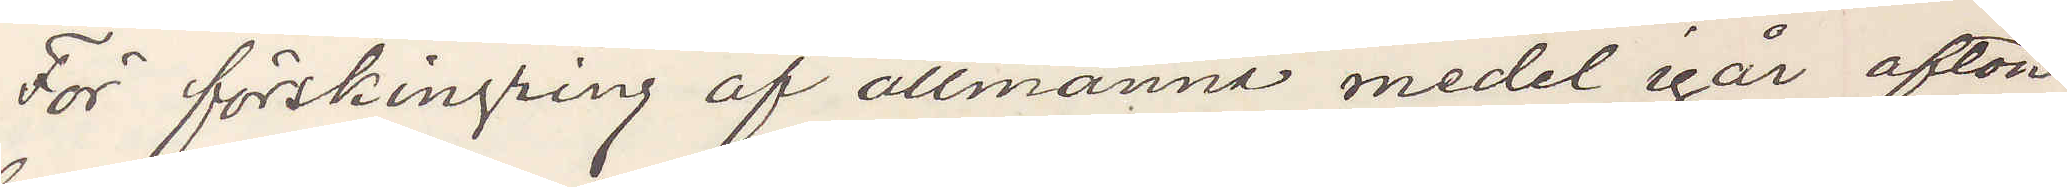För förskingring af allmänna medel igår afton
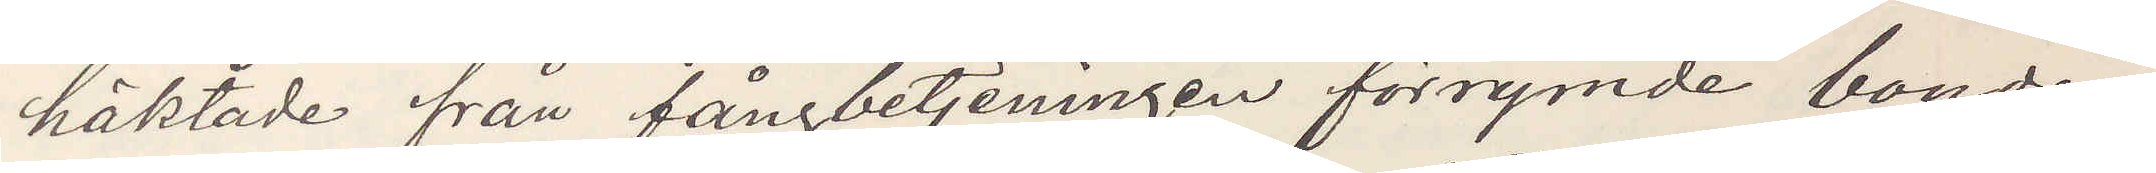häktade från fångbetjeningen förrymde bonden
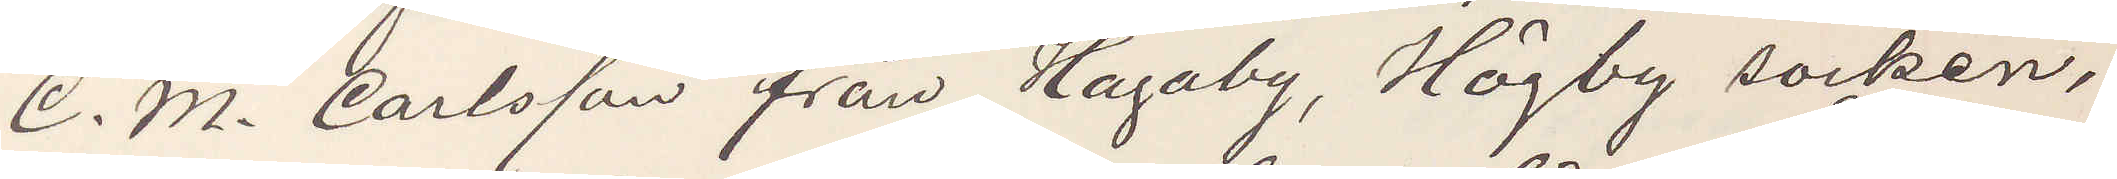C. M. Carlsson från Hagaby, Högby socken,
